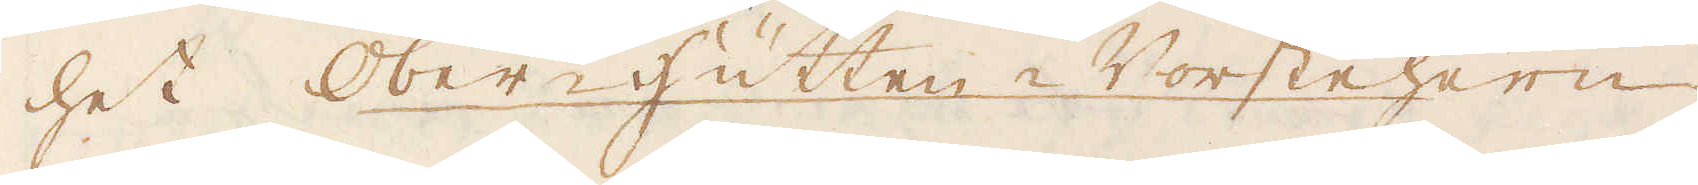het Ober-hutten Vorstehern
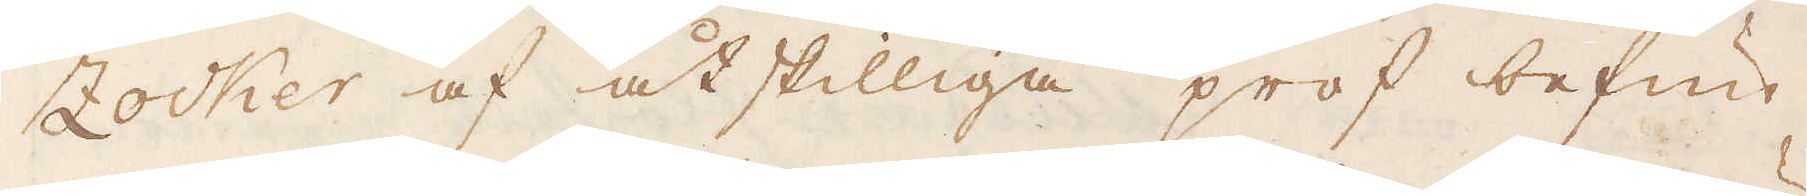Zocker af åtskilliga prof befun-
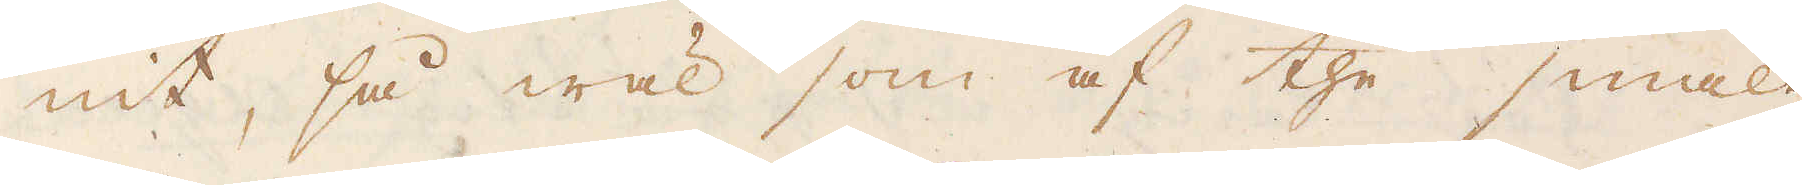nit, så wäl som af the smält-
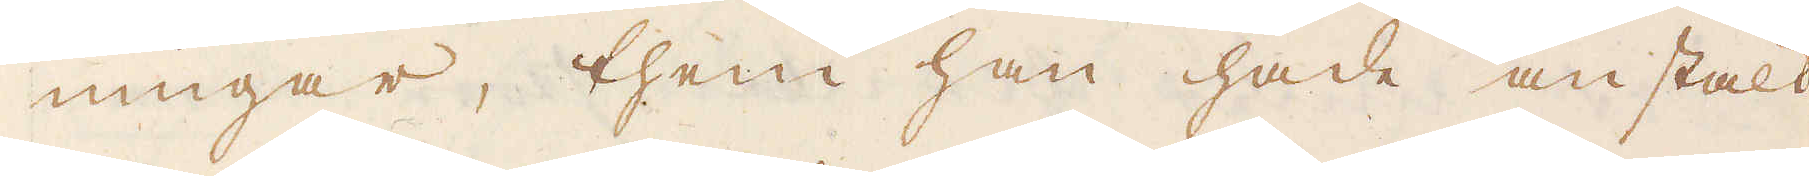ningar, them han hade anstält
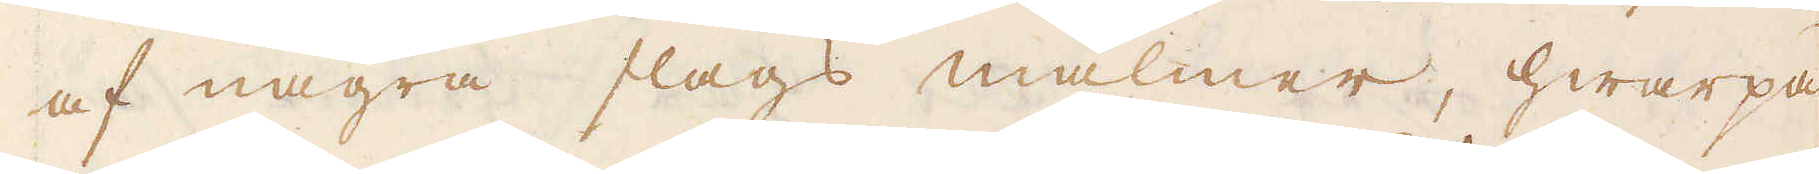af några slags malmer, hwarpå
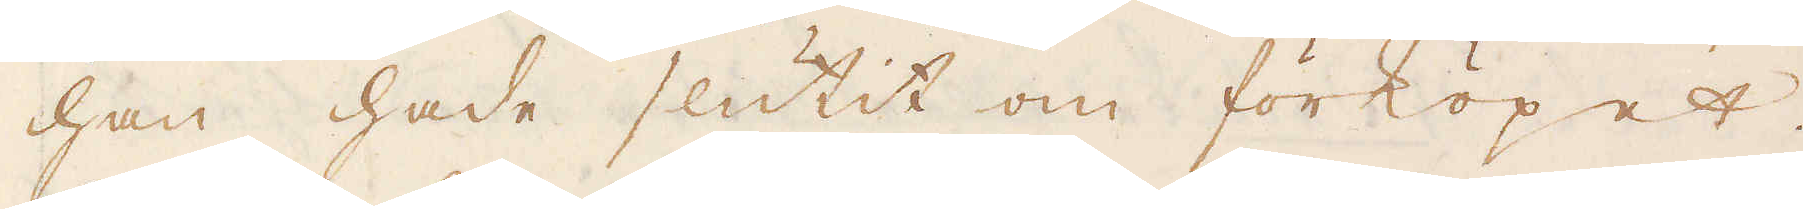han hade slutit om förköpet.
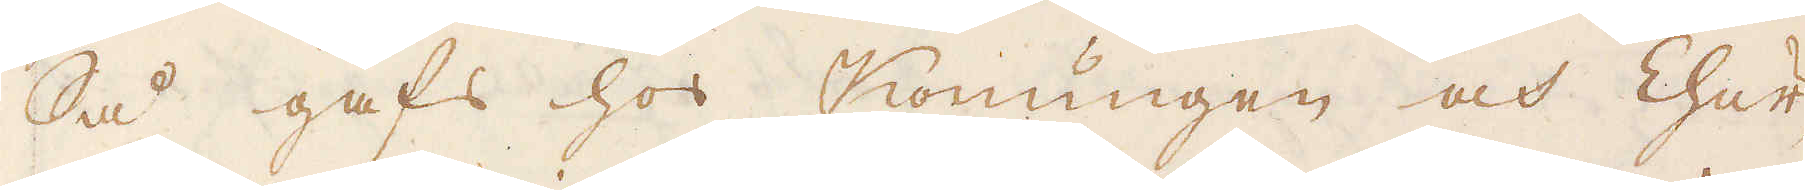Så gafs hos Konungen och Chur-
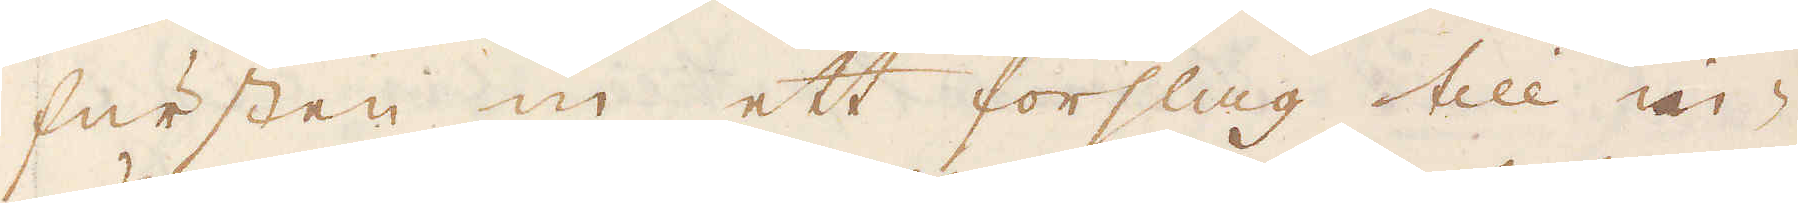fursten in ett förslag till in-
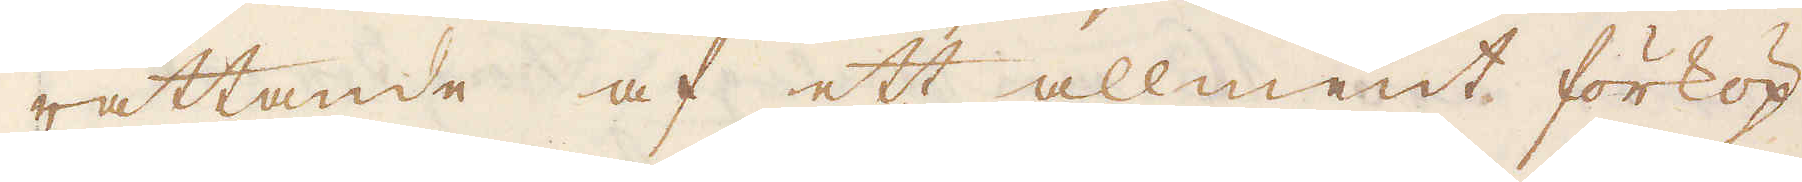rättande af ett allment förköp
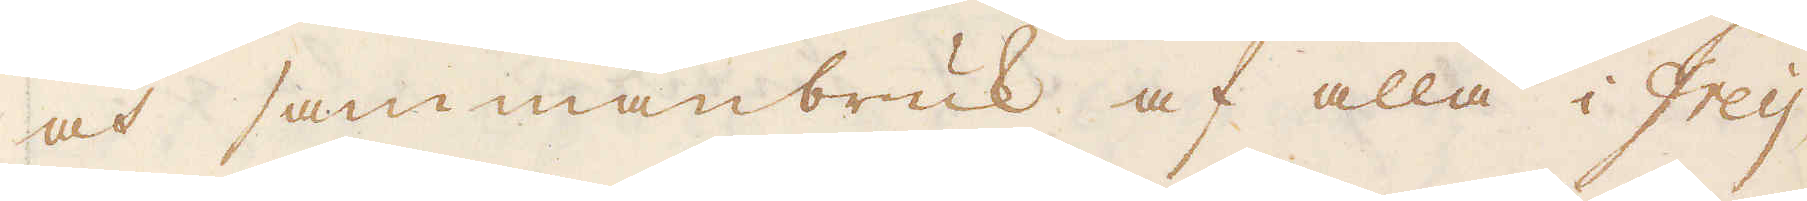och sammanbruk af alla i Freij-
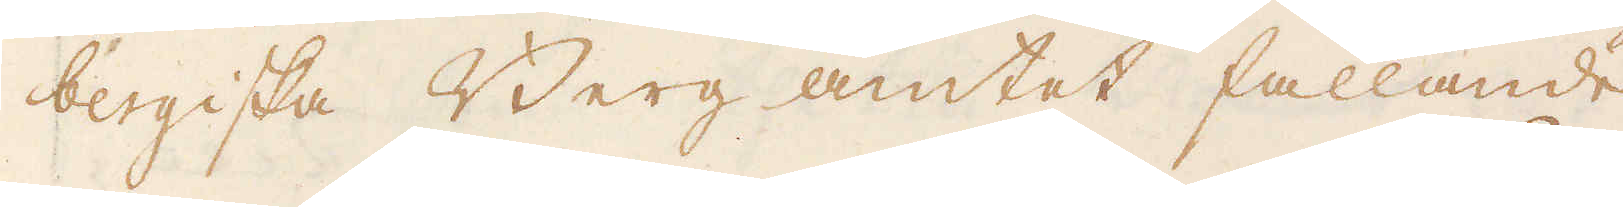bergiska Berg amtet fallande
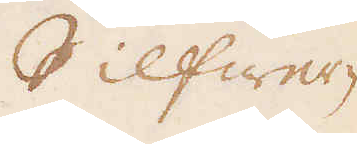Silfwer-
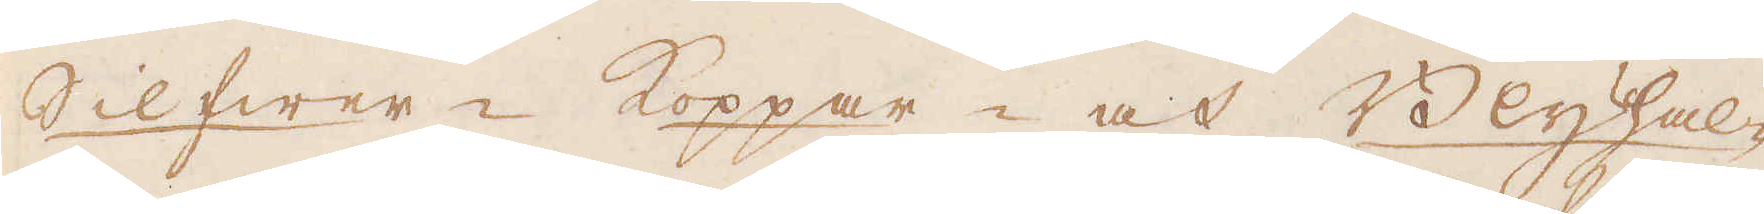Silfwer- Koppar- och Blyhhal-
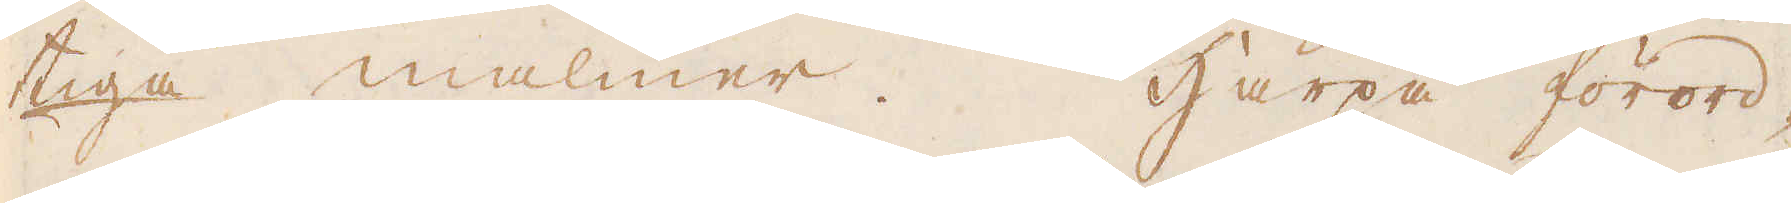tiga malmer. Härpå förord-
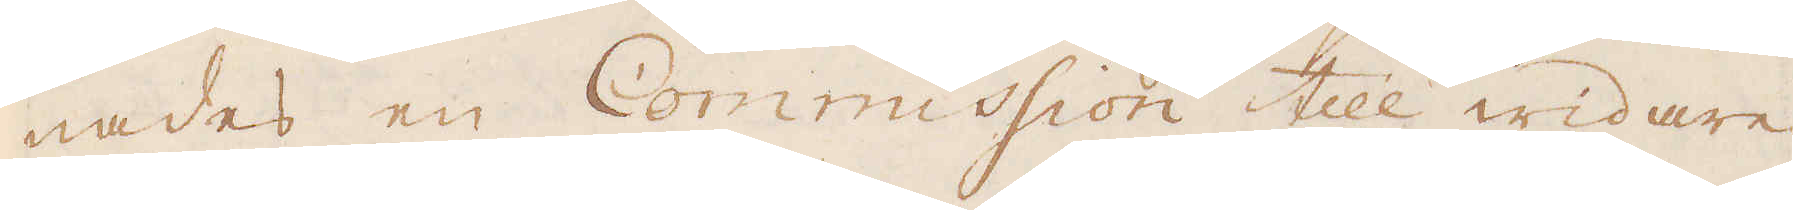nades en Commission till widare
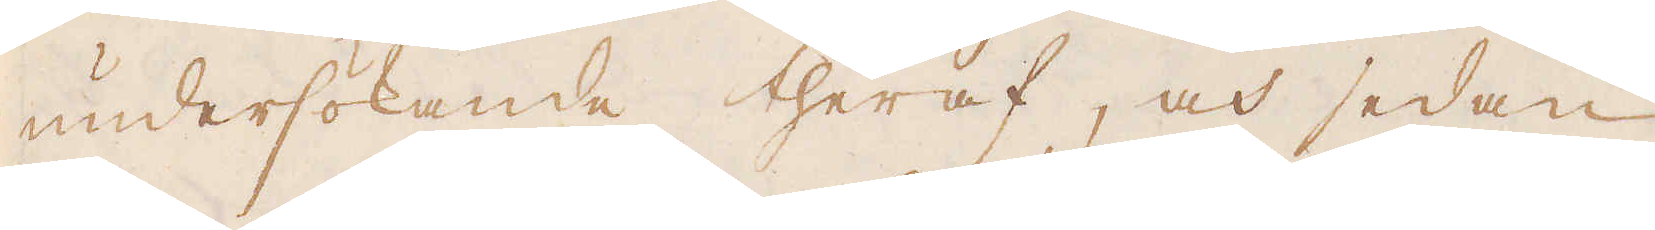undersökande theraf, och sedan
